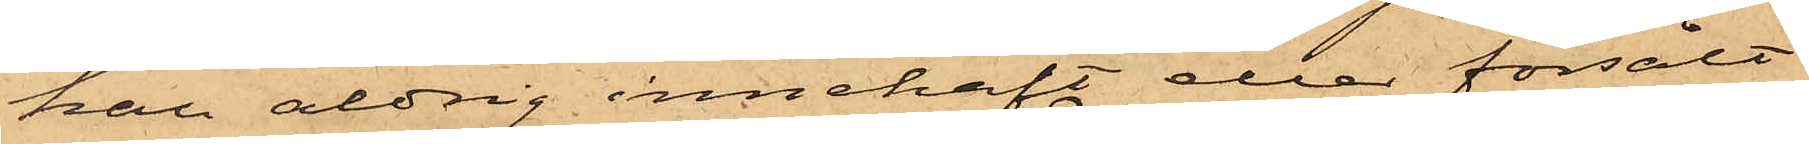han aldrig innehaft eller försålt
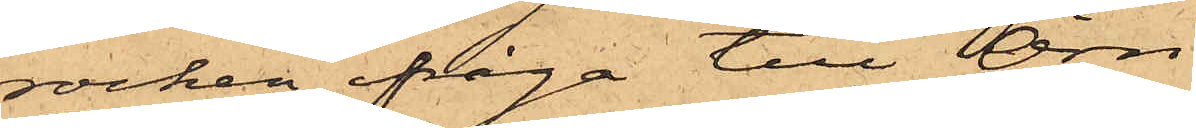rocken ifråga till Örn.
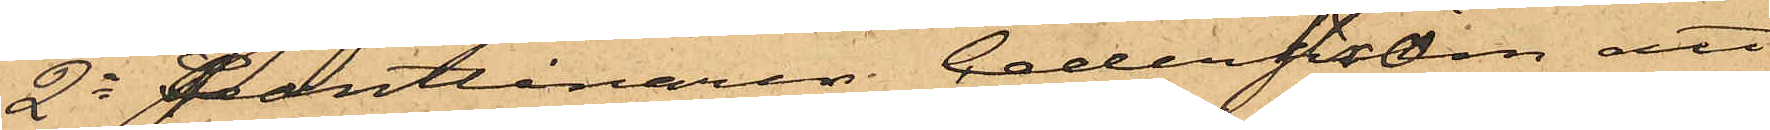2o Pantlånaren Cederström att
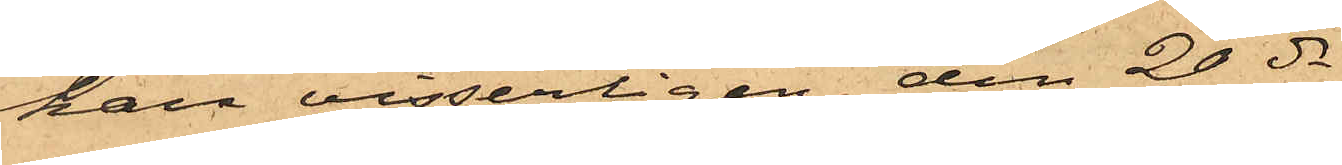han visserligen den 20 ds
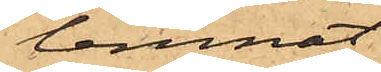lemnat
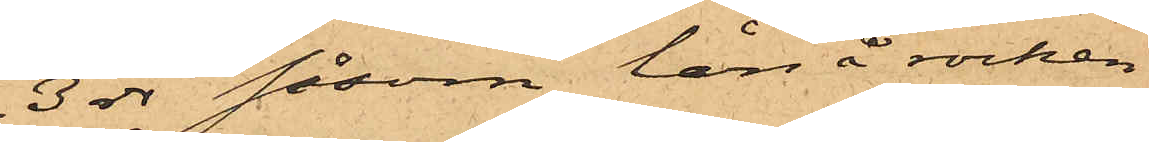3 rdr såsom lån å rocken
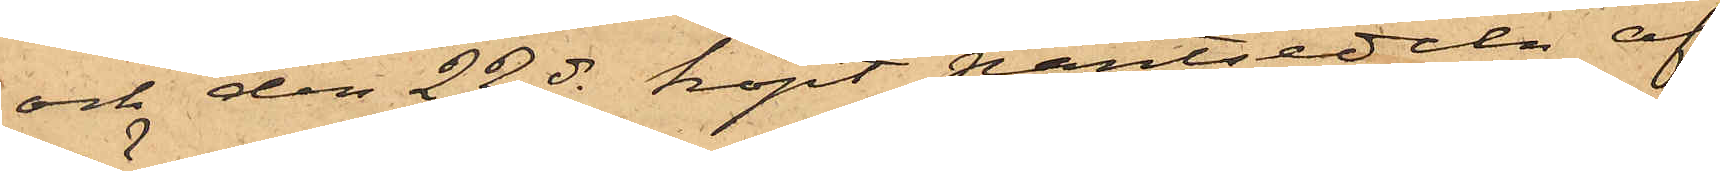och den 22 ds köpt pantsedeln af
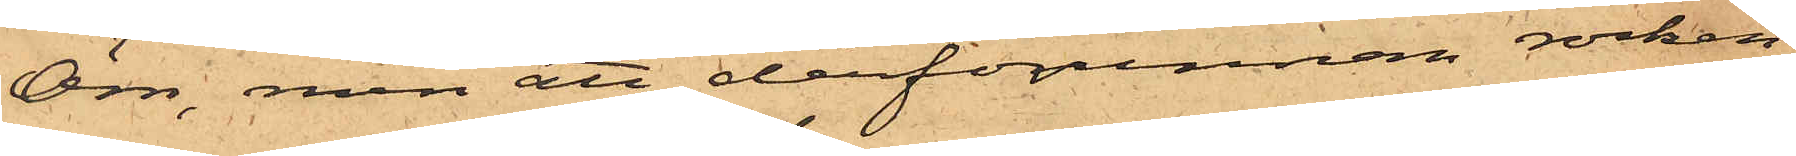Örn, men att derförinnan rocken
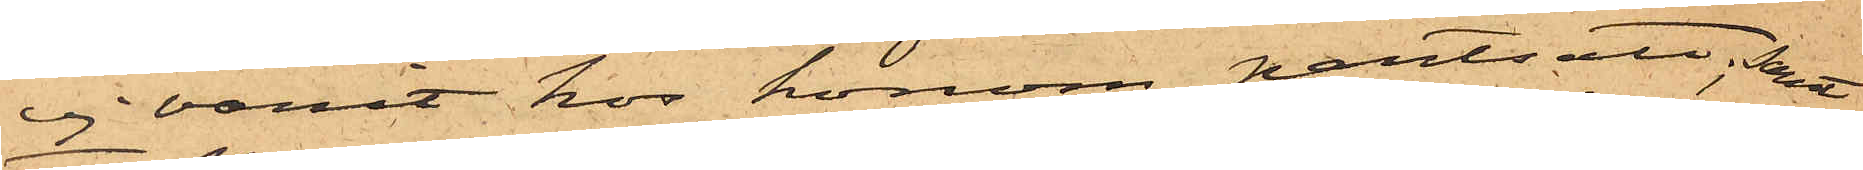ej varit hos honom pantsatt, samt
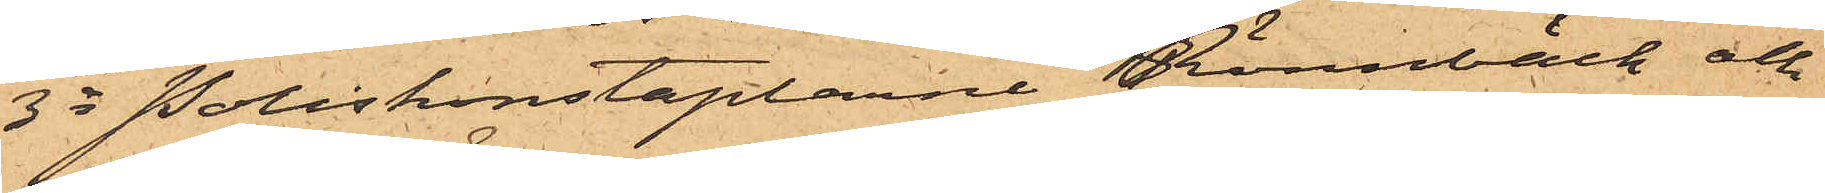3o Poliskonstaplarne Rönnbäck och
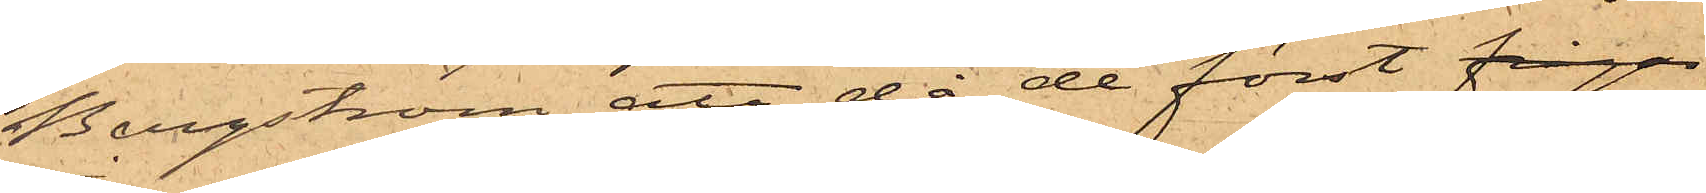Bergström, att då de först fråga
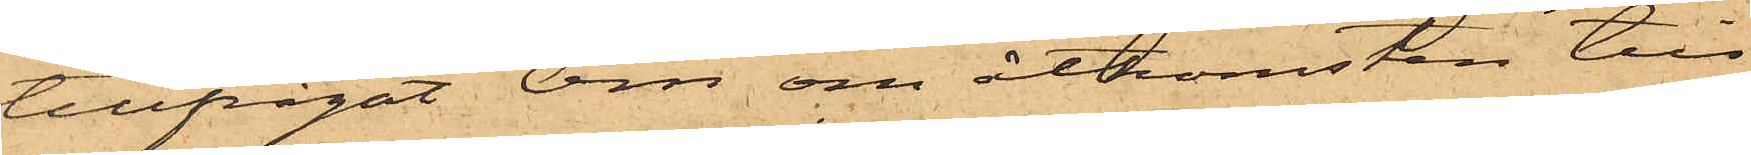tillfrågat Örn om åtkomsten till
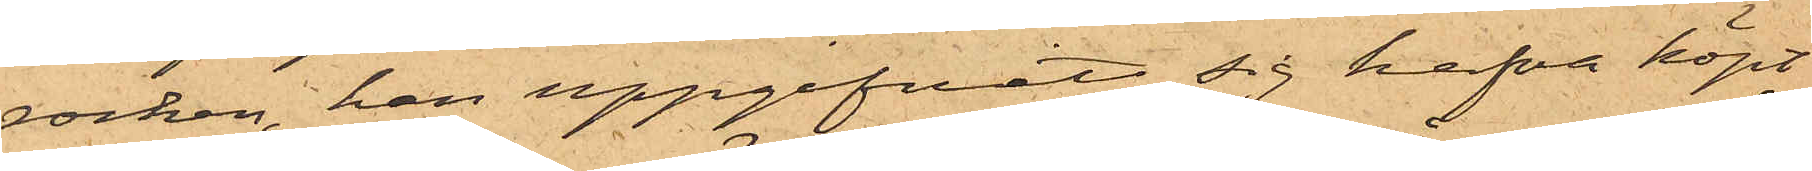rocken, han uppgifvit sig hafva köpt
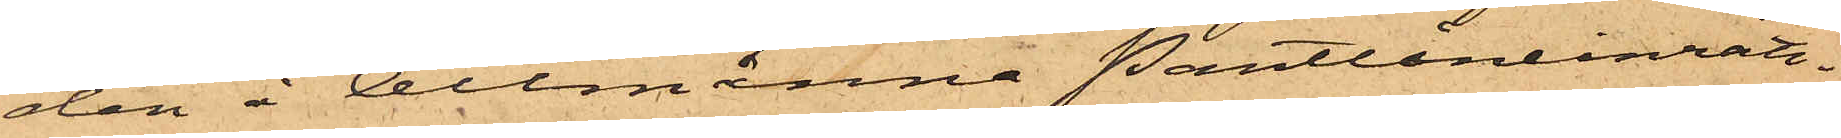den å Allmänna Pantlåneinrätt¬
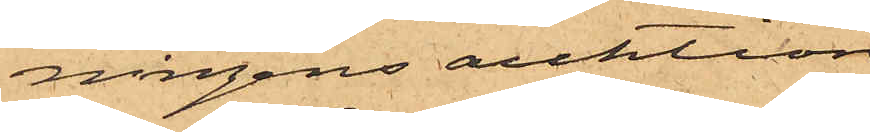ningens auktion.
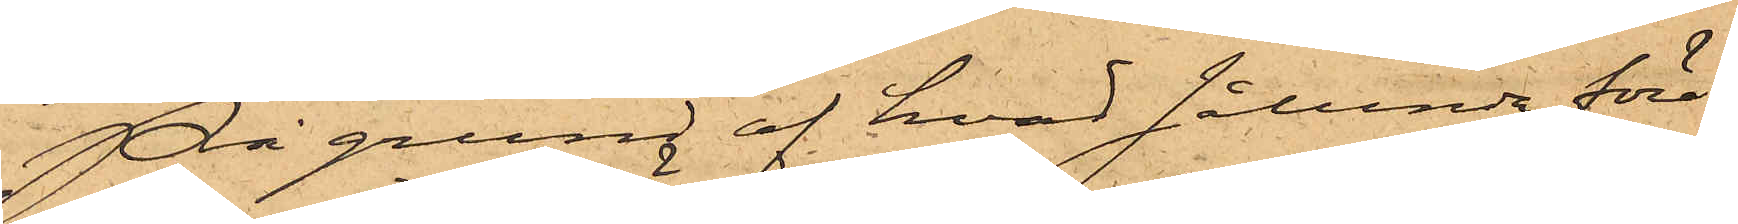På grund af hvad sålunda före¬
